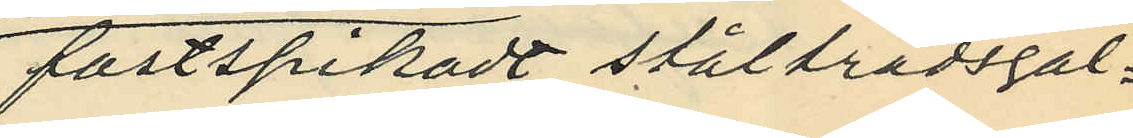fastspikat ståltrådsgal¬
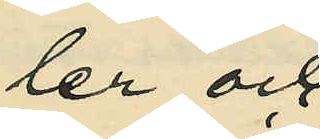ler och
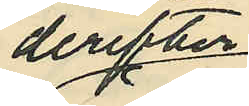derefter
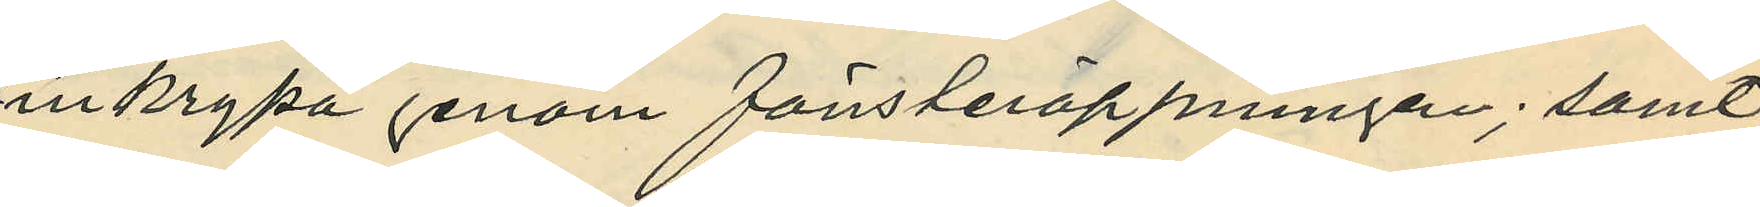inkrypa genom fönsteröppningen; samt
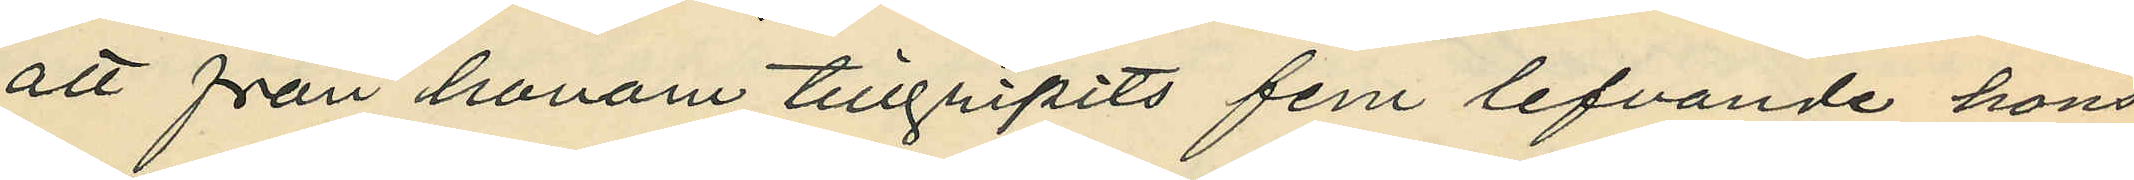att från honom tillgripits fem lefvande höns
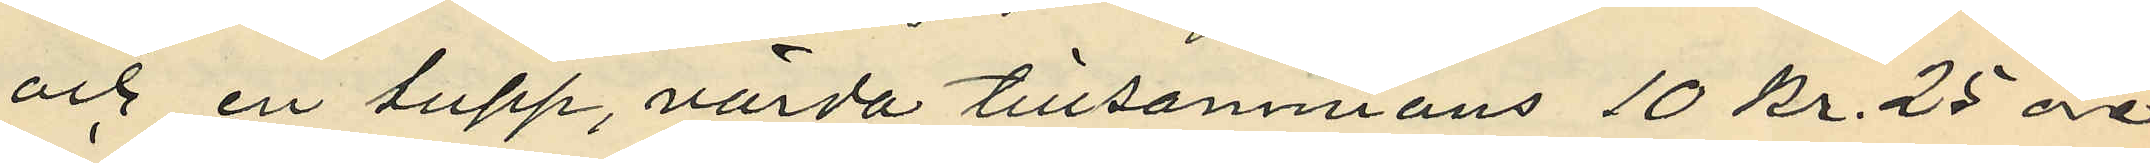och en tupp, värda tillsammans 10 Kr. 25 öre.
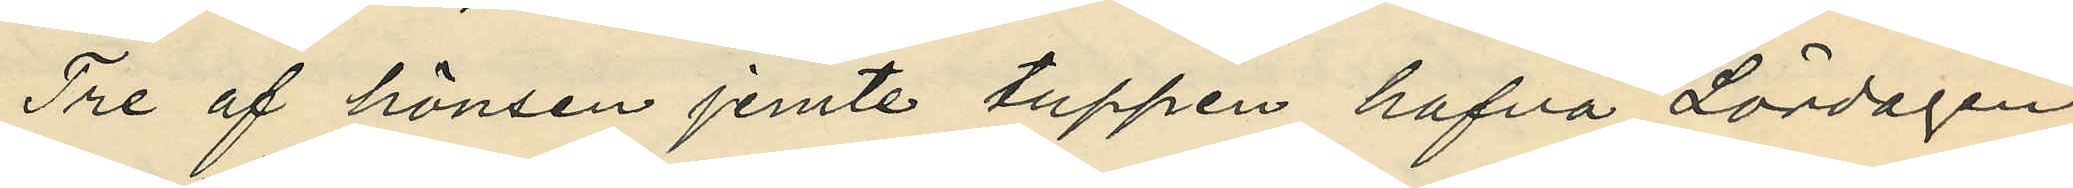Tre af hönsen jemte tuppen hafva Lördagen
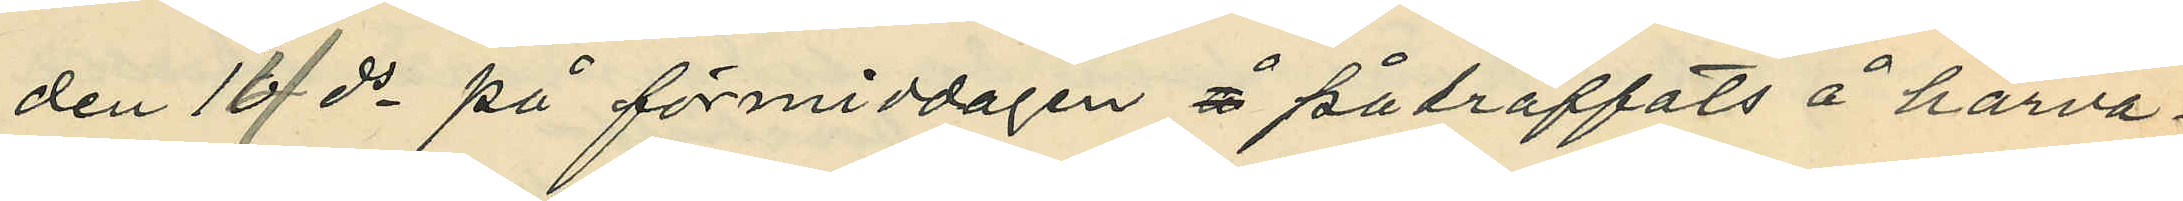den 14 ds på förmiddagen å påträffats å härva¬
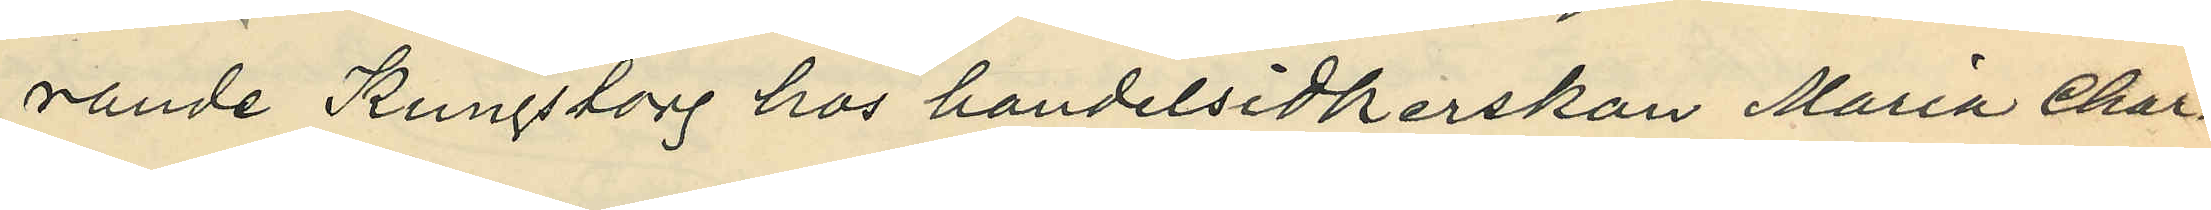rande kungstorg hos handelsidkerskan Maria Char¬
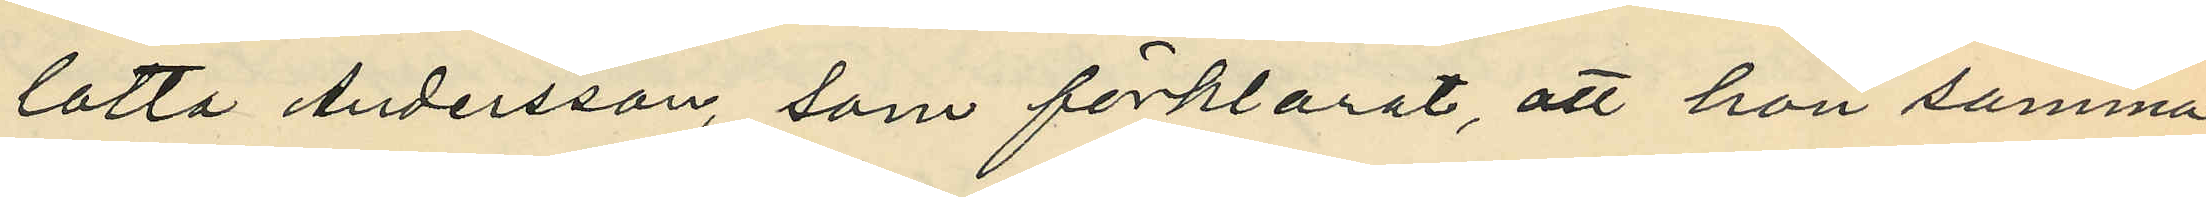lotta Andersson, som förklarat, att hon samma
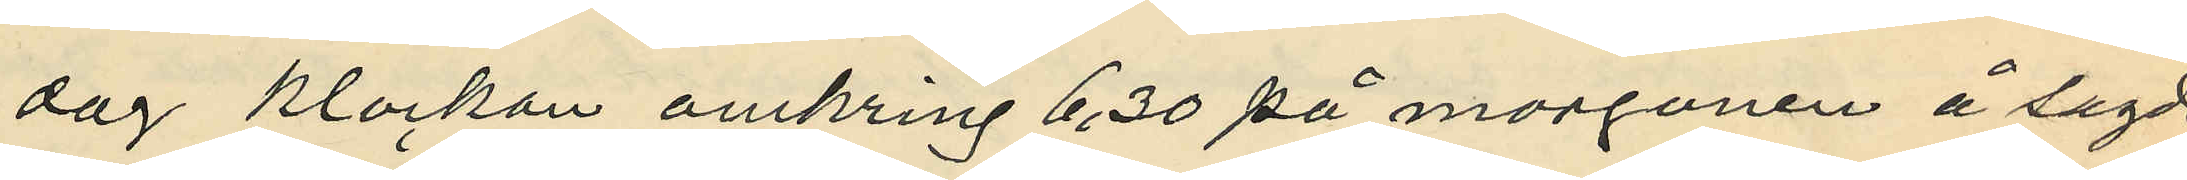dag klockan omkring 6,30 på morgonen å sagde
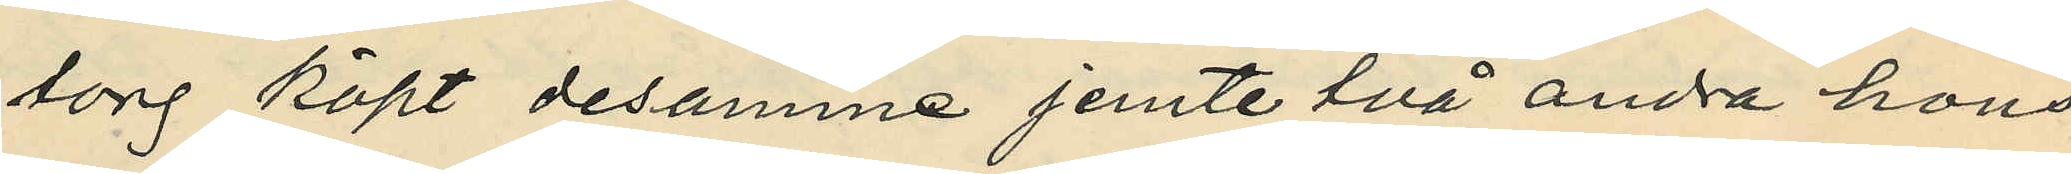torg köpt desamme jemte två andra höns
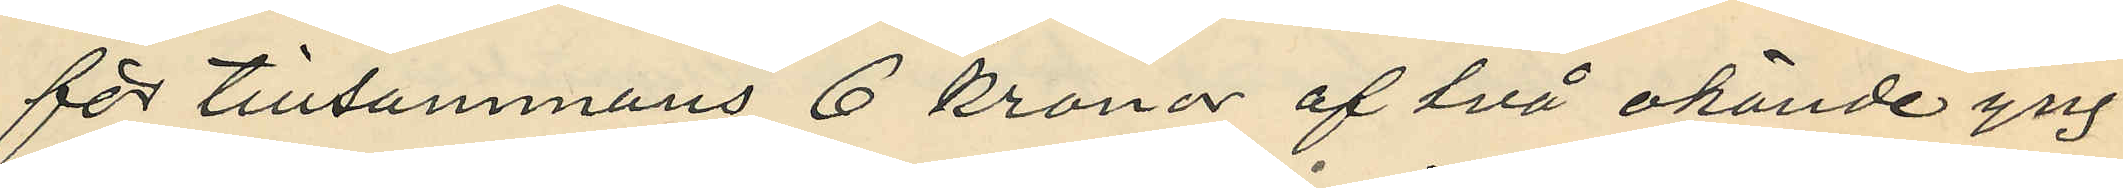för tillsammans 6 kronor af två okände yng¬
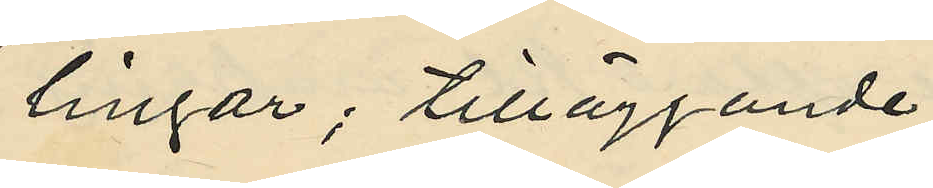lingar; tilläggande
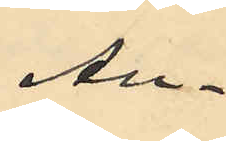An¬
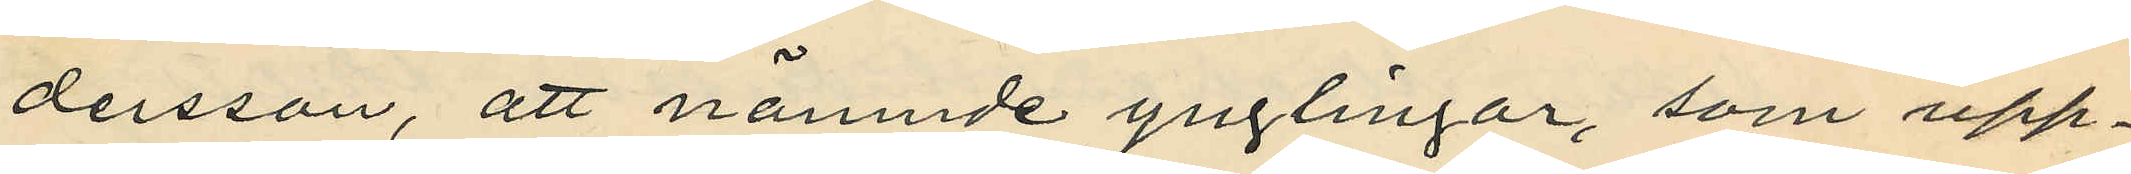dersson, att nämnde ynglingar, som upp¬
